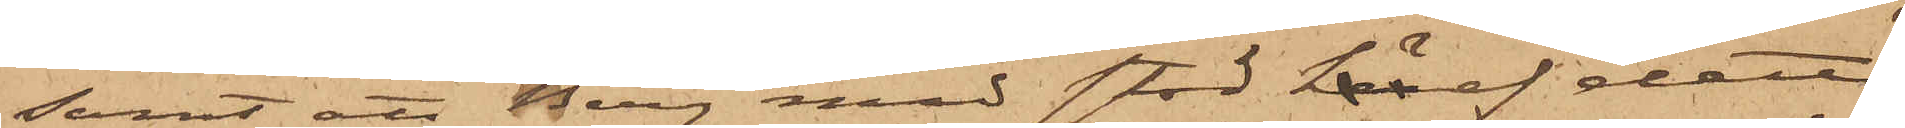samt att Berg med stöd häraf detta
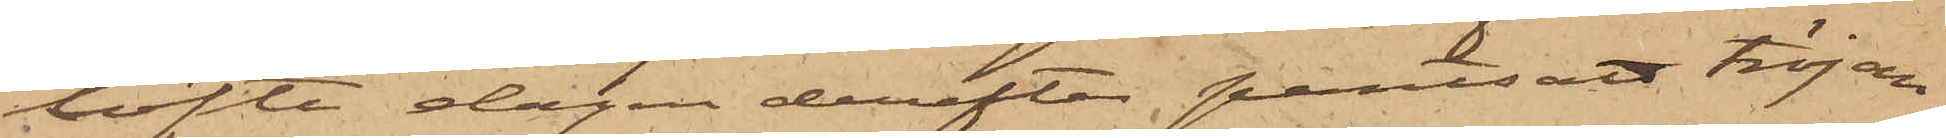löfte dagen derefter pantsatt tröjan
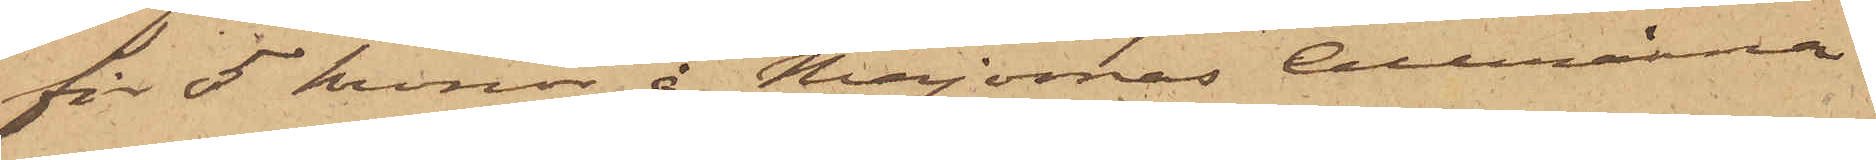för 5 kronor å Majornas Allmänna
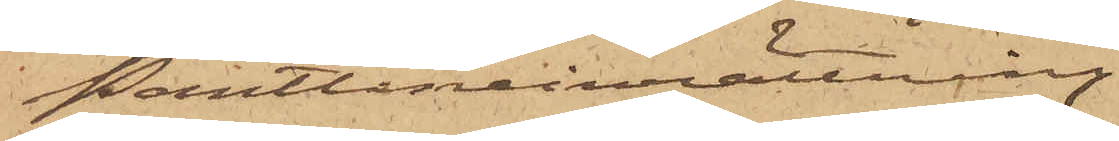Pantlåneinrättning.
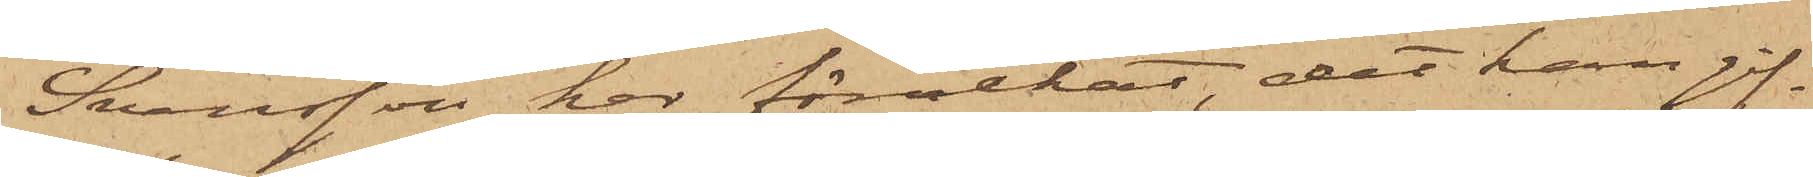Svensson har förnekat, det han gif¬
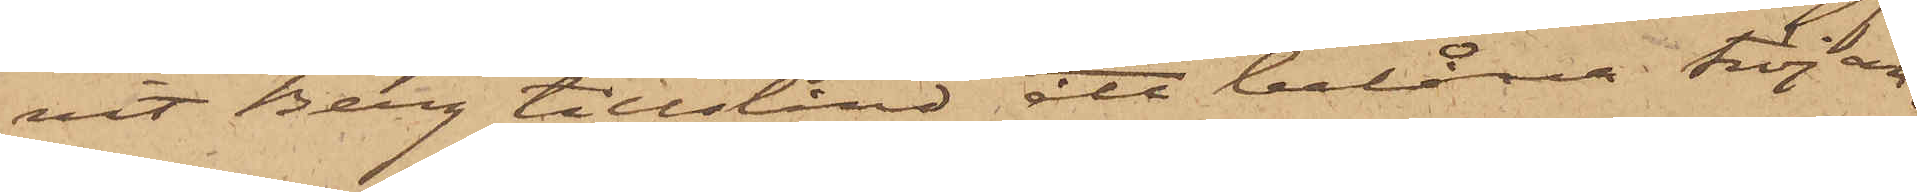vit Berg tillstånd att belåna tröjan,
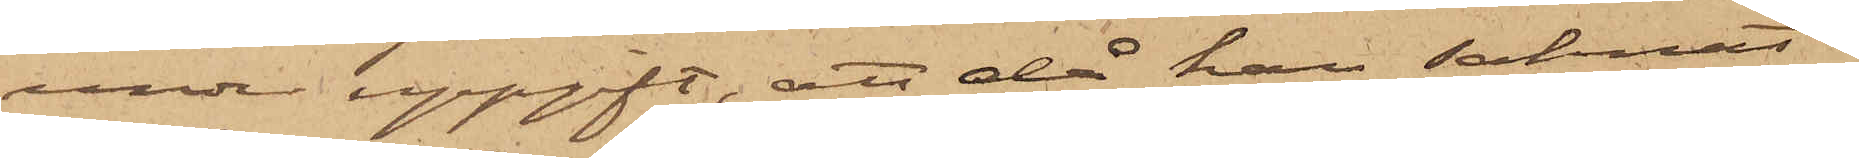under uppgift, att då han saknat
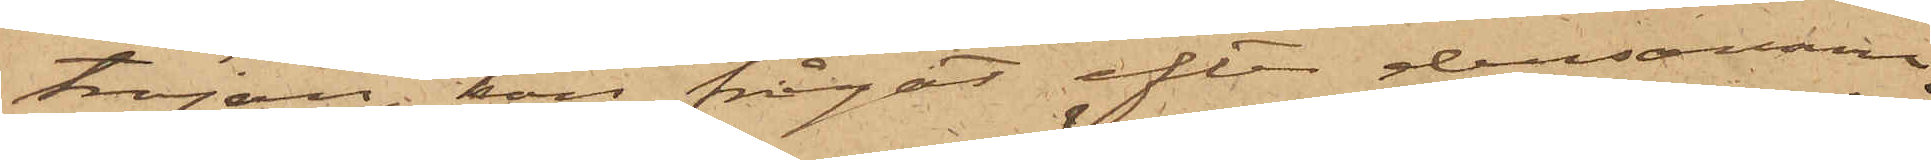tröjan, han frågat efter densamma,
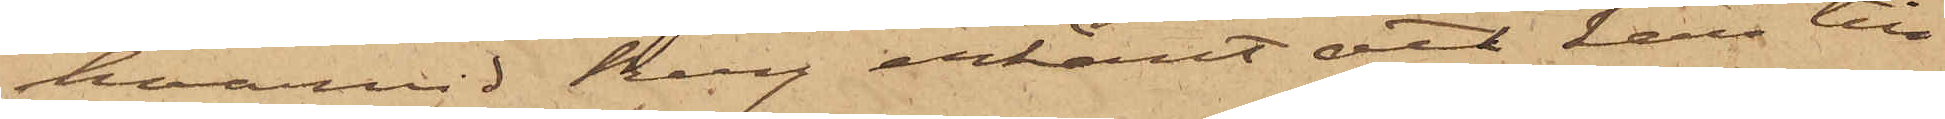hvarvid Berg erkänt att han till¬
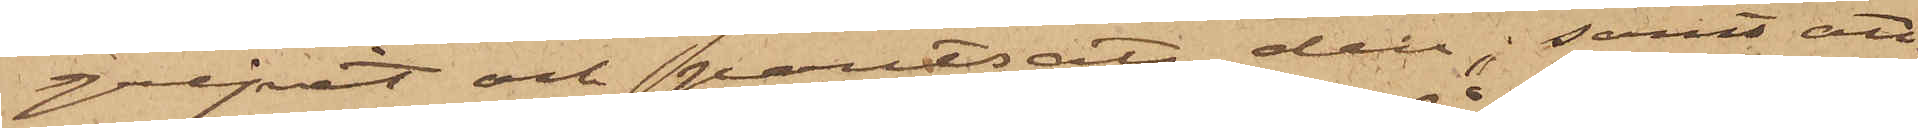gripit och pantsatt den; samt att
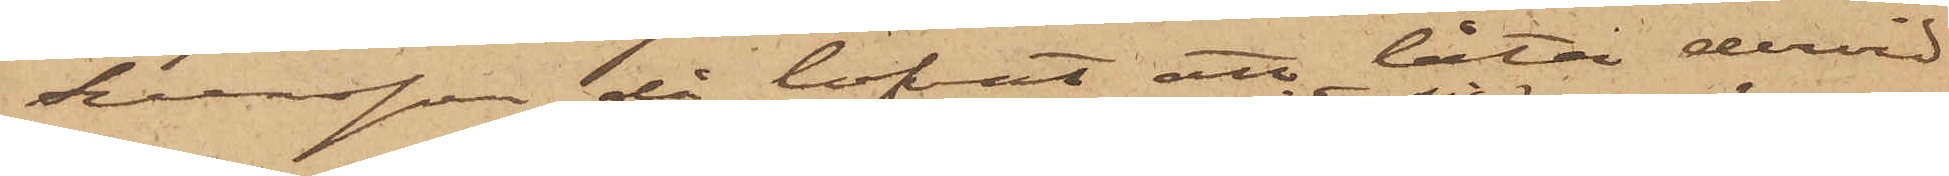Svensson då lofvat att låta dervid
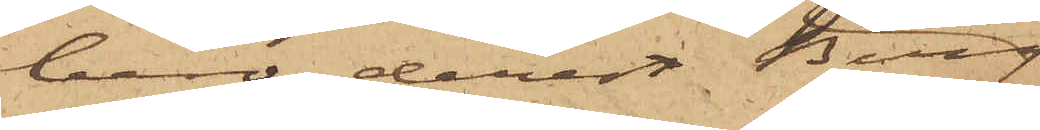bero, derest Berg
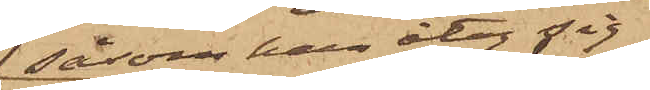såsom han åtog sig
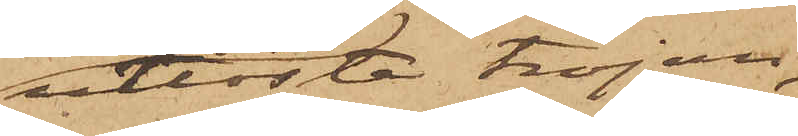utlöste tröjan,
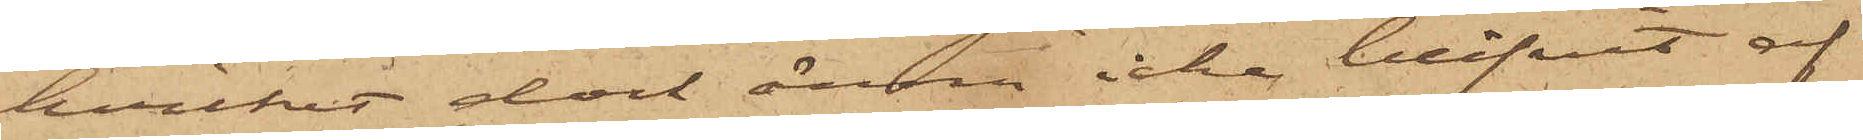hvilket dock ännu icke blifvit af
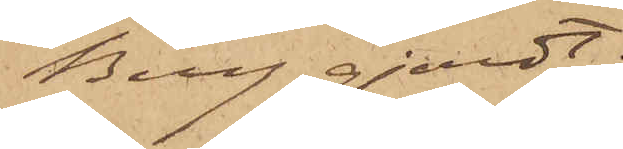Berg gjordt.
